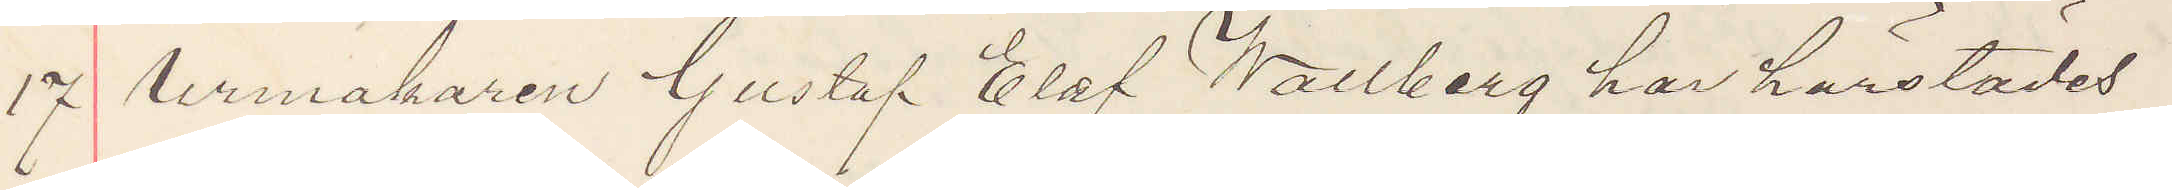17 Urmakaren Gustaf Olof Wallberg har härstädes
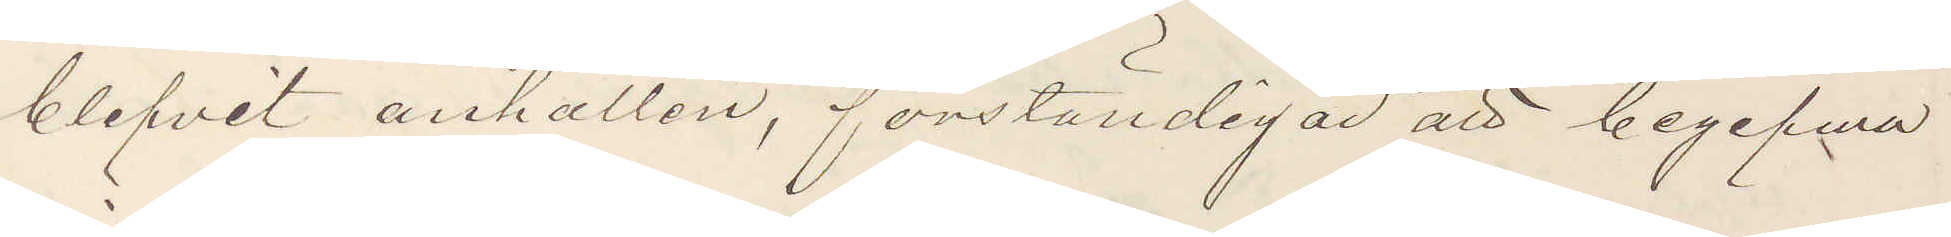blifvit anhållen, förständigar att begifwa
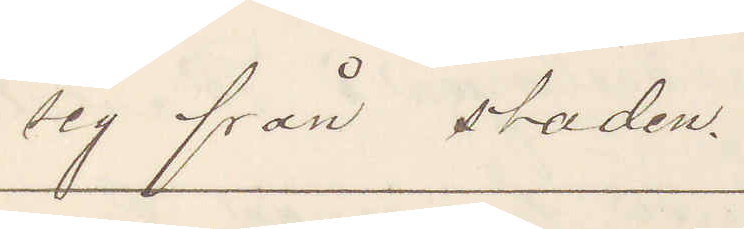sig från staden.
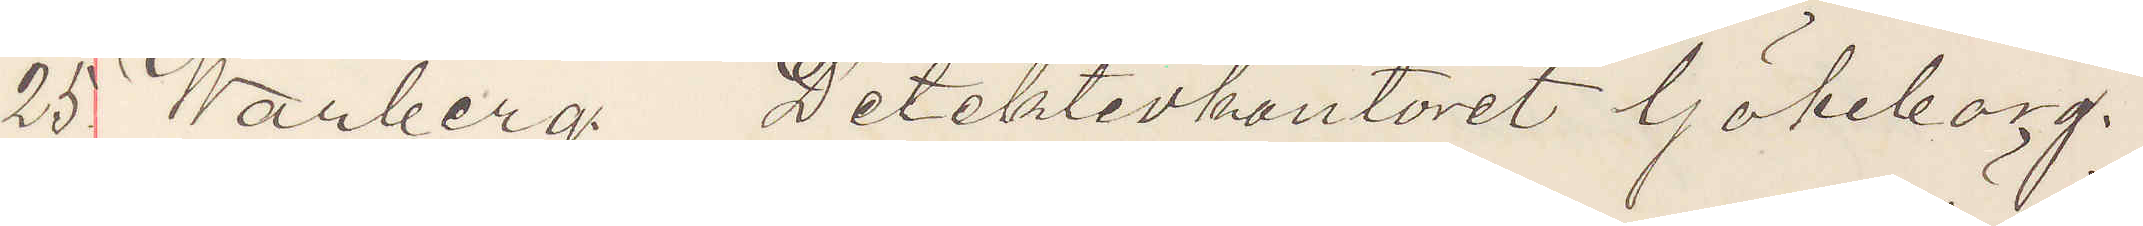25 Warberg Detektivkontoret Göteborg.
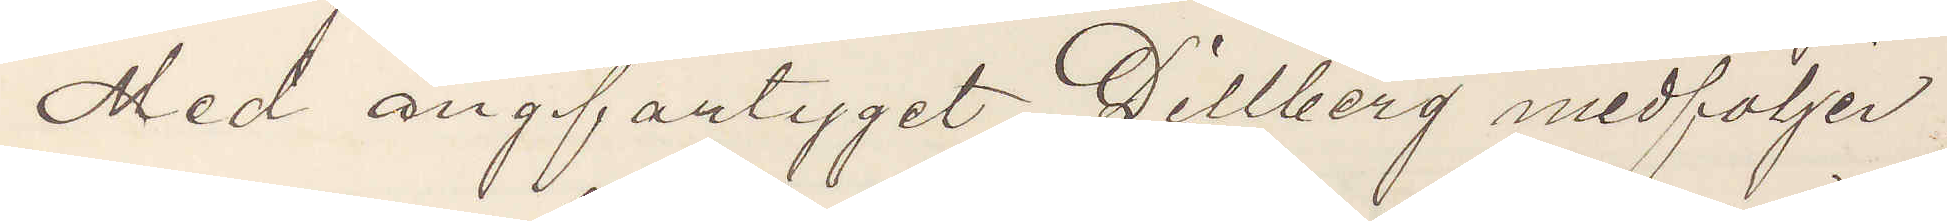Med ångfartyget Dillberg medföljer
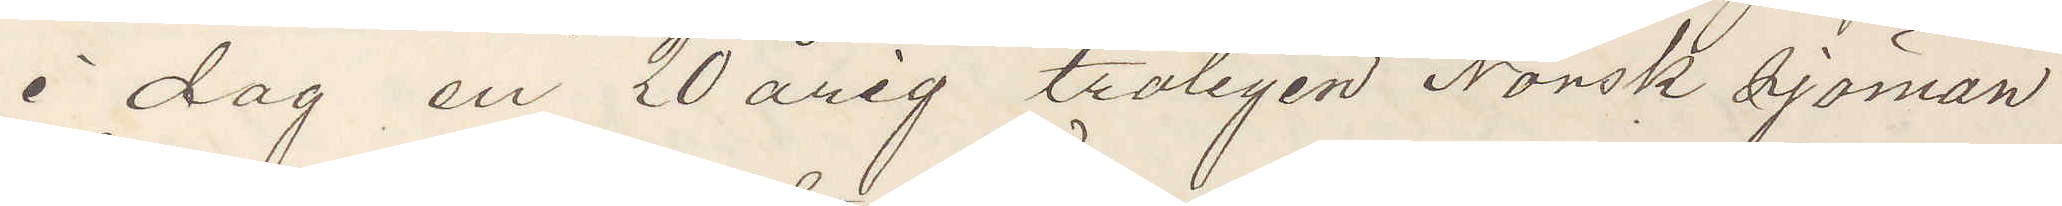i dag en 20 årig troligen Norsk sjöman
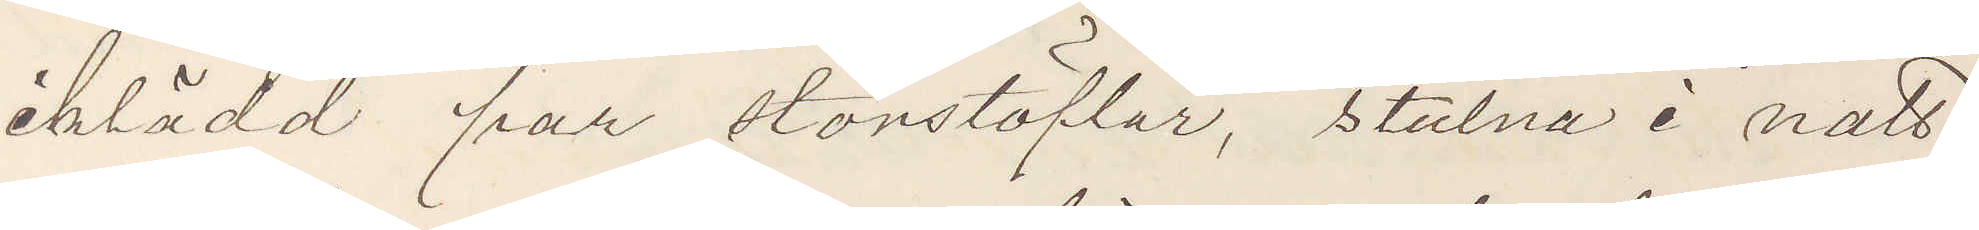iklädd par storstöflar, stulna i natt
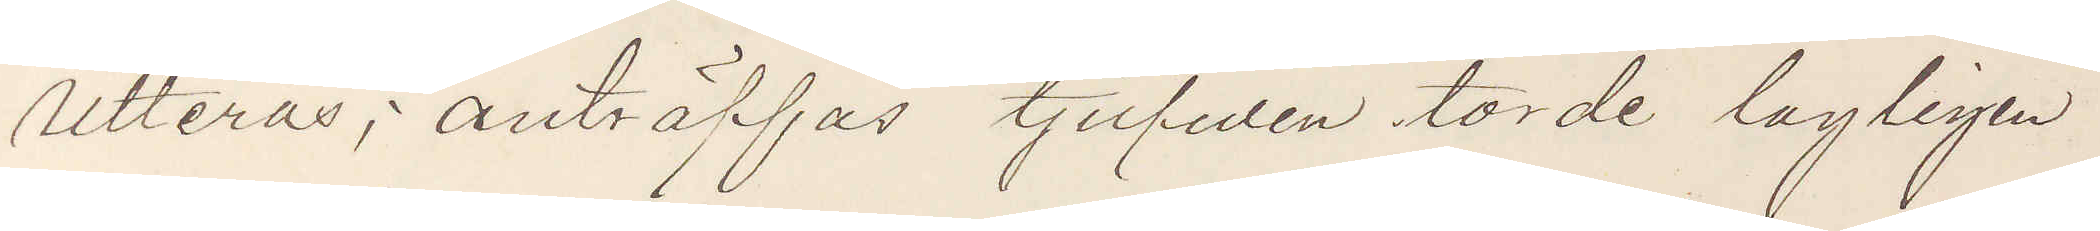Utterås; anträffas tjufwen torde lagligen
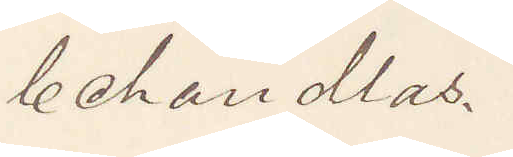behandlas.
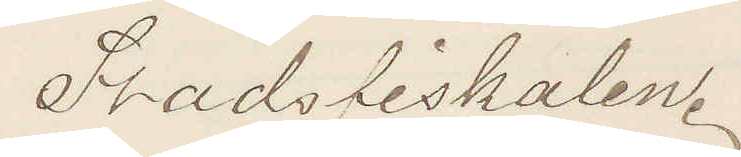Stadsfiskalen.
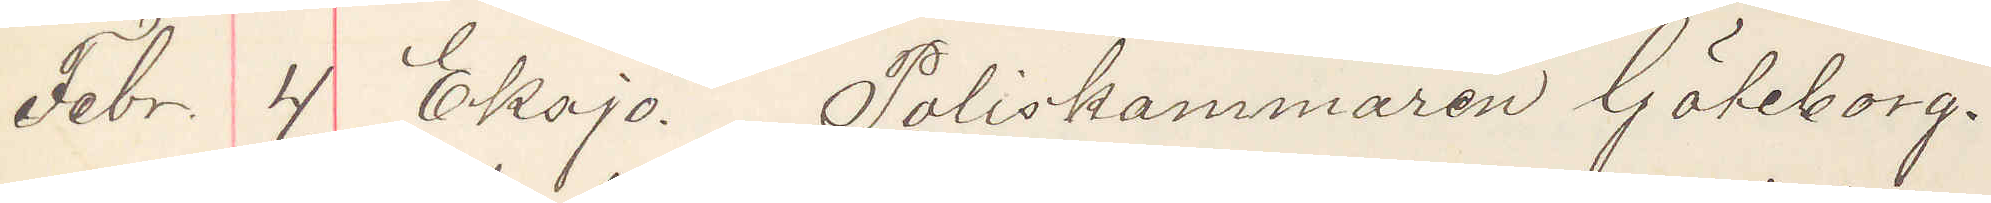Febr. 4. Eksjö. Poliskammaren Göteborg.
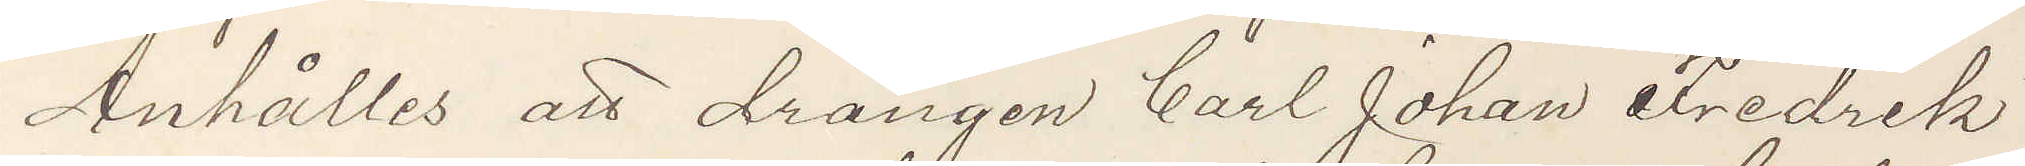Anhålles att drängen Carl Johan Fredrik
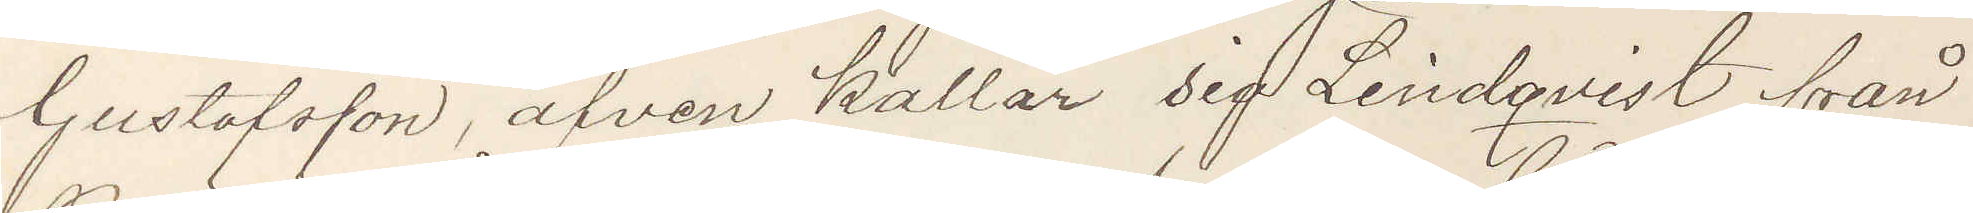Gustafsson, äfven kallar sig Lindqvist från
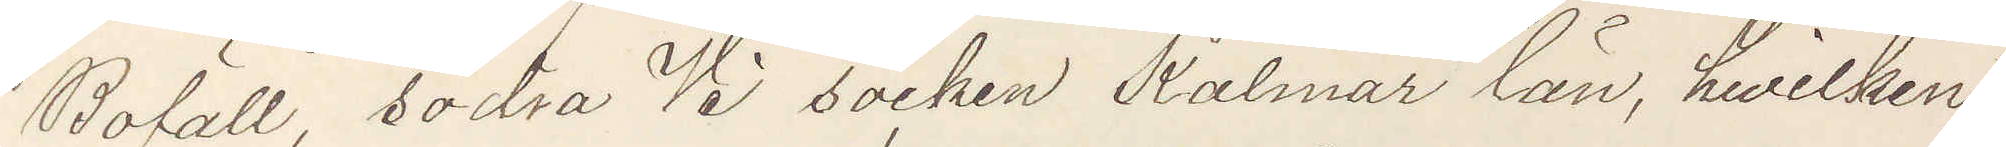Bofall, södra Vi socken Kalmar län, hwilken
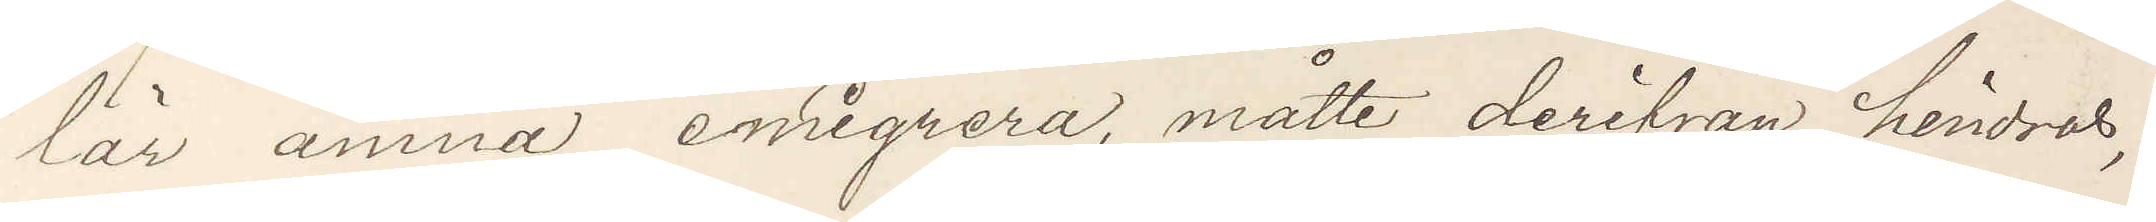lär ämna emigrera, måtte derifrån hindras,
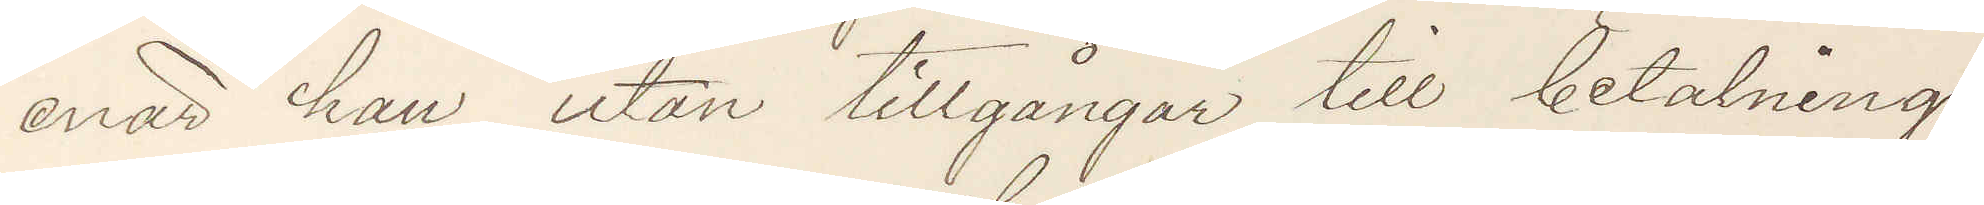enär han utan tillgångar till betalning
